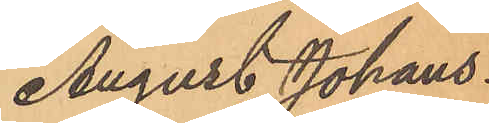August Johans¬
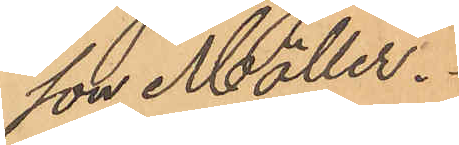son Möller.
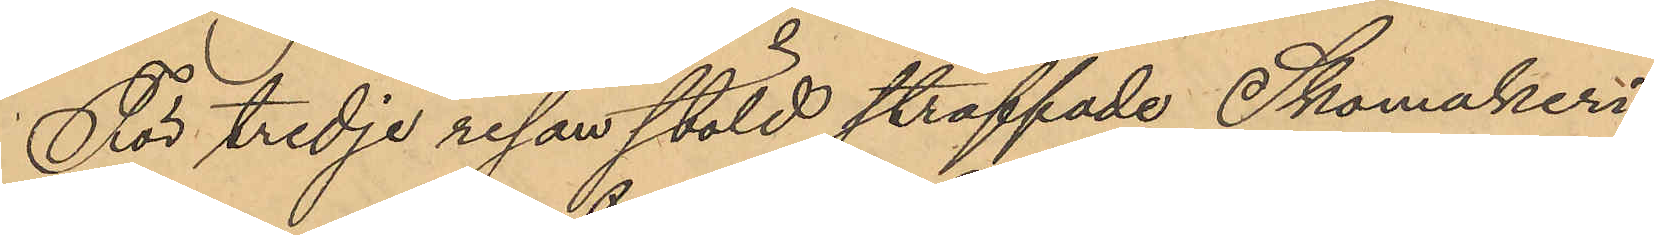För tredje resan stöld straffade Skomakeri¬
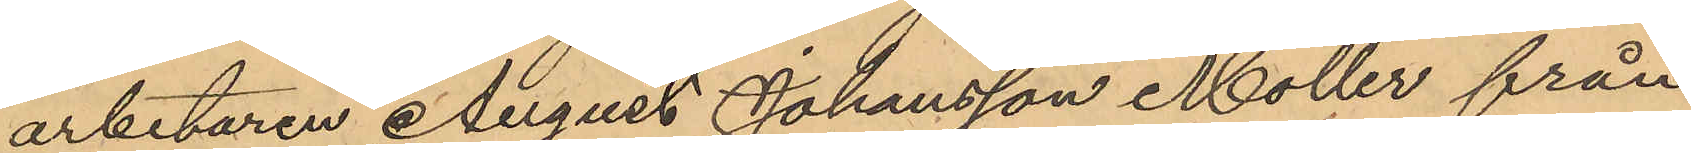arbetaren August Johansson Möller från
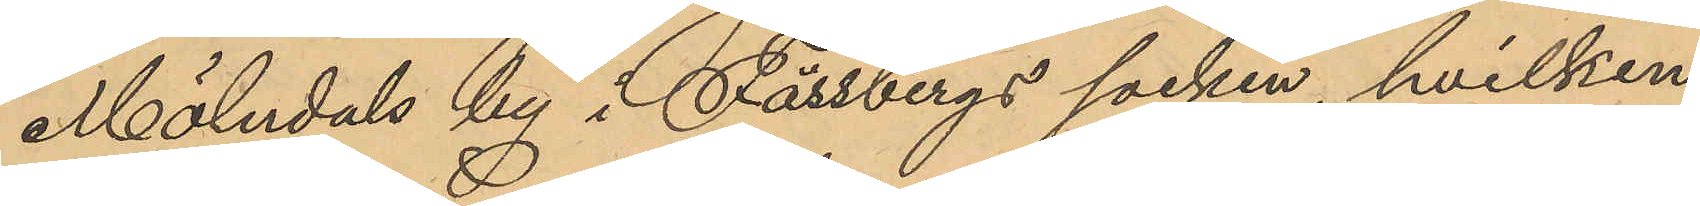Mölndals by i Fässbergs socken, hvilken
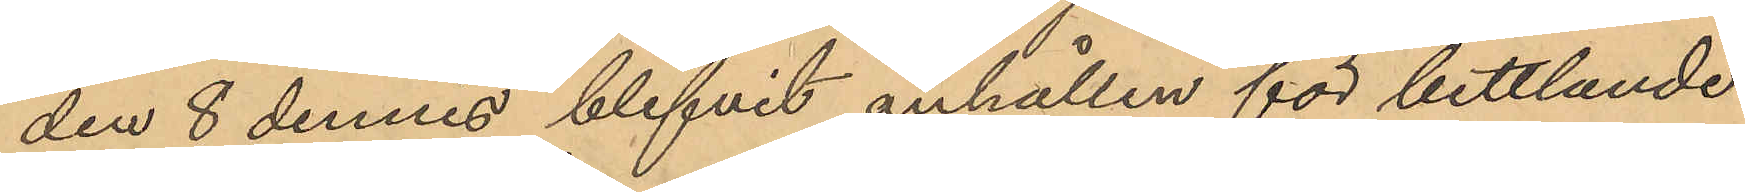den 8 dennes blifvit anhållen för bettlande
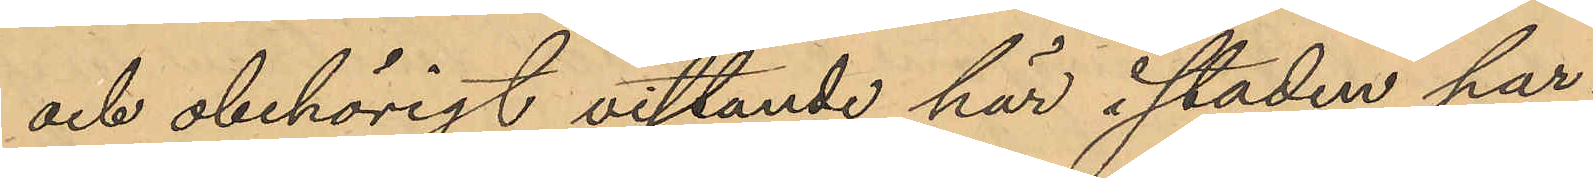och obehörigt vistande här i staden har
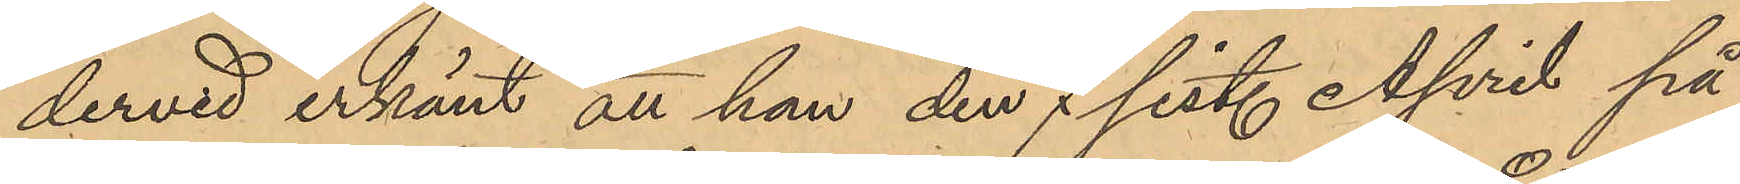dervid erkänt att han den 7 sist. April på
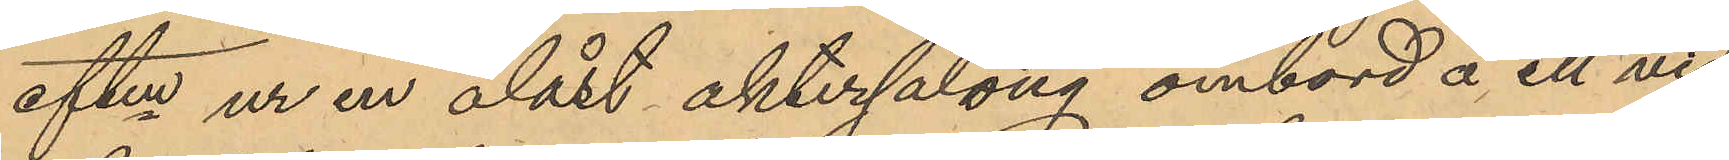eftm ur en olåst aktersalong ombord å ett vid
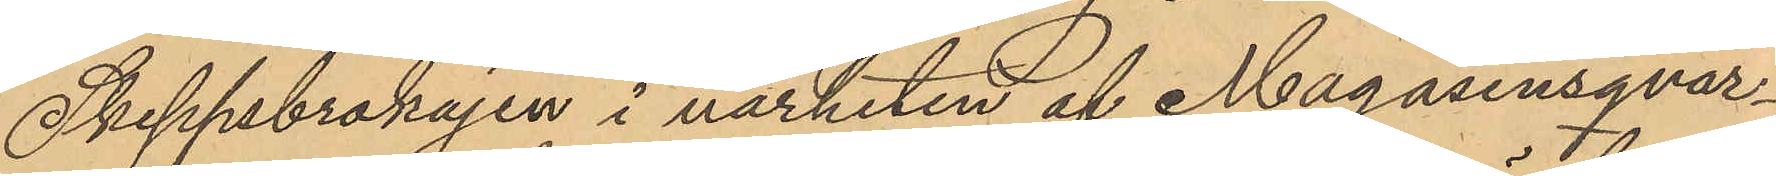Skeppsbrokajen i närheten af Magasinsqvar¬
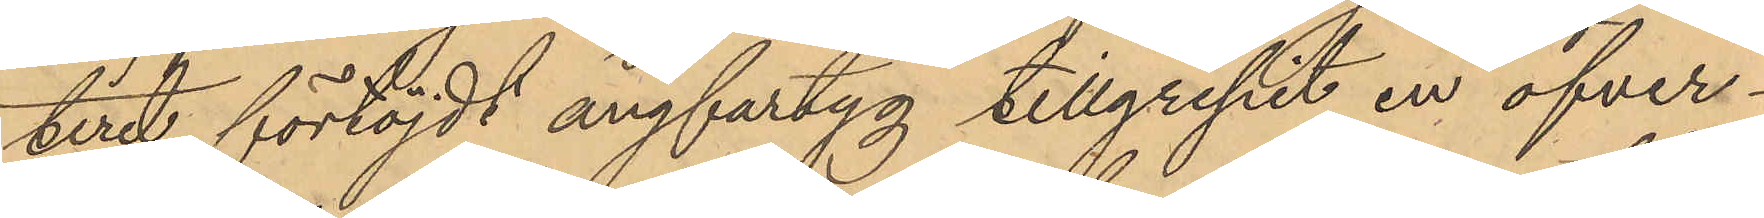teret förtöjdt ångfartyg tillgripit en öfver¬
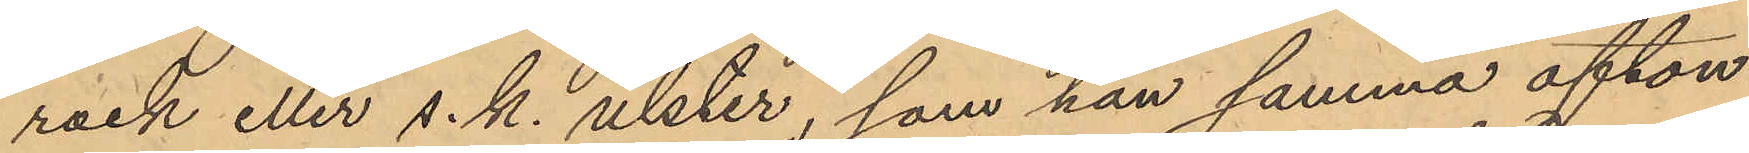rock eller s. k. ulster, som han samma afton
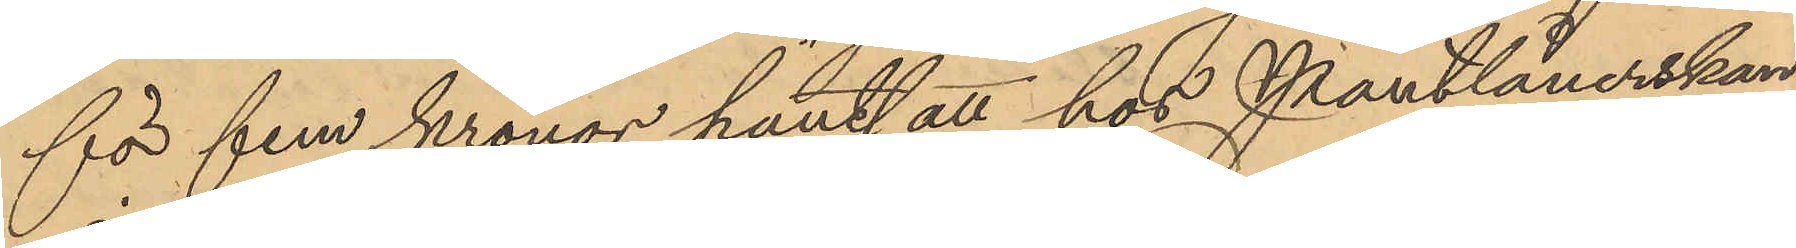för fem kronor pantsatt hos Pantlånerskan
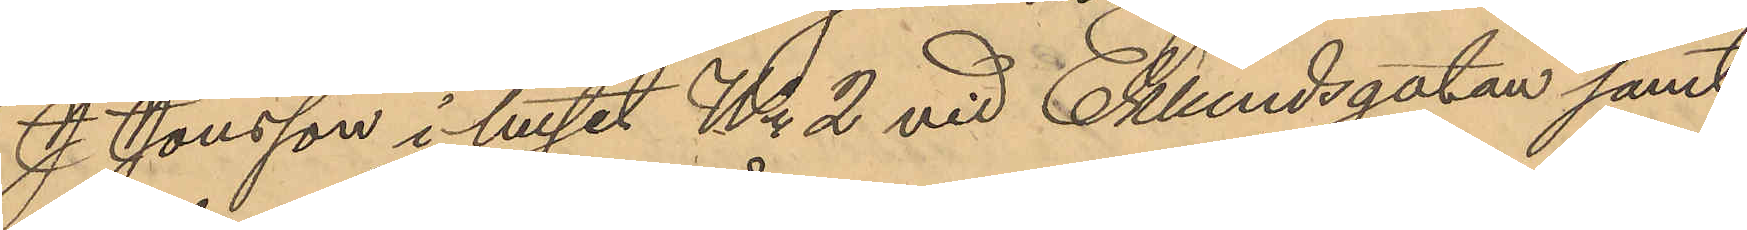J. Jonsson i huset No 2 vid Eklundsgatan samt
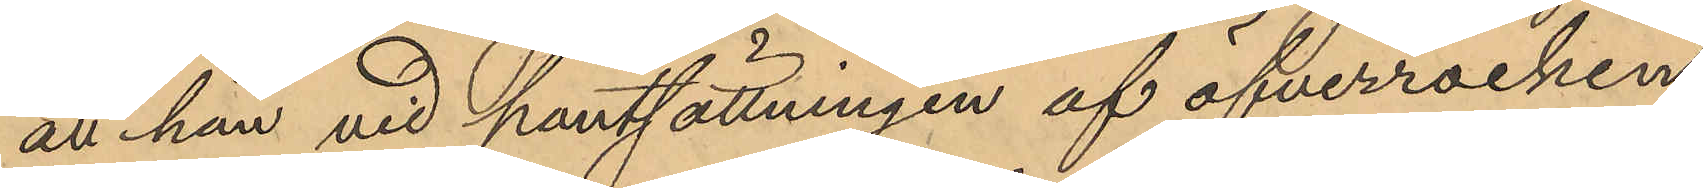att han vid pantsättningen af öfverrocken
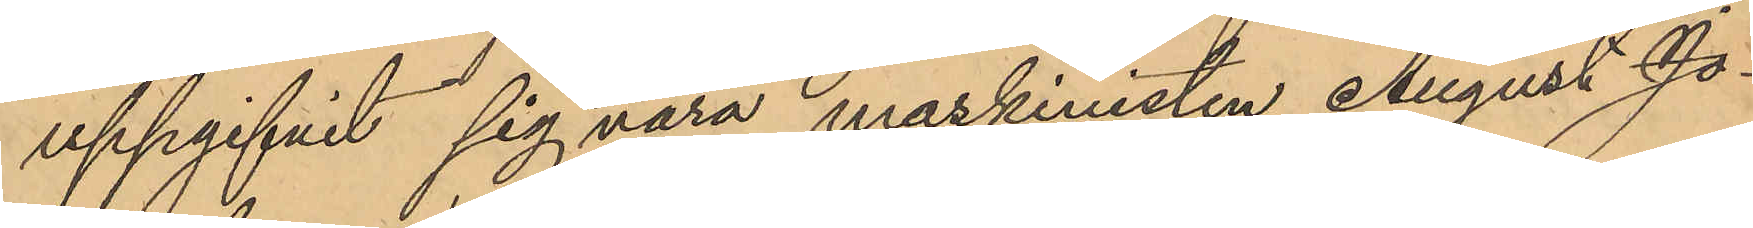uppgifvit sig vara maskinisten August Jo¬
